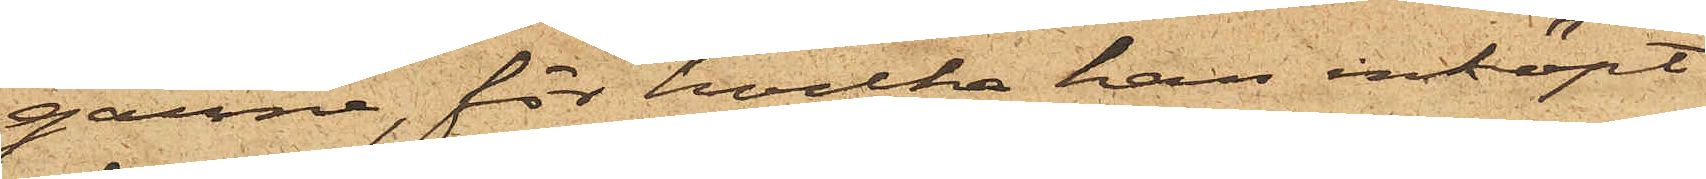garne, för hvilka han inköpt
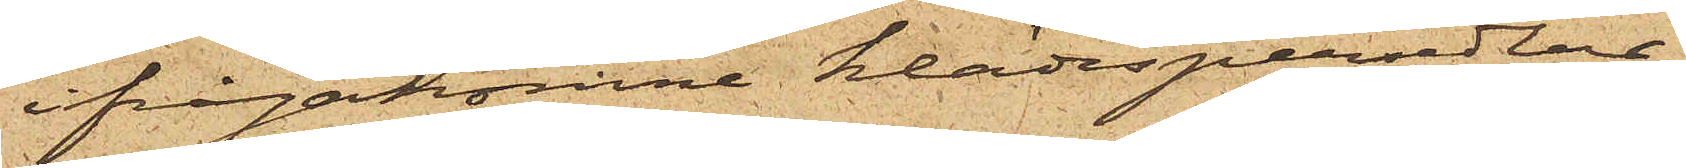ifrågakomne klädespersedlar.
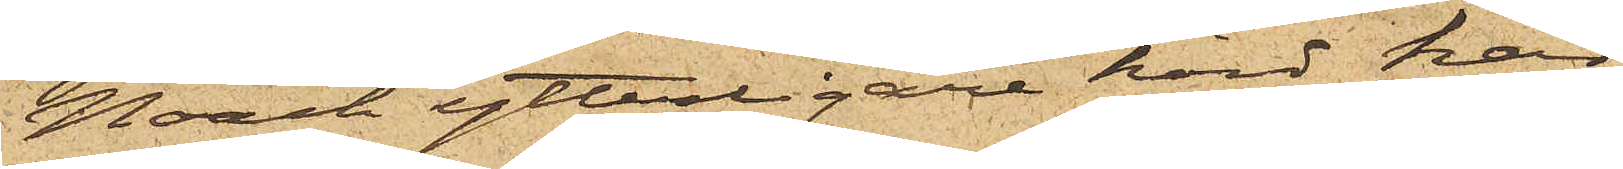Noach ytterligare hörd har
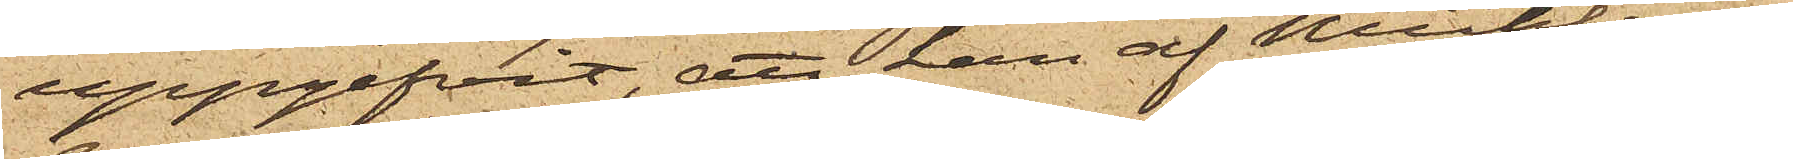uppgifvit, att han af Mühlen¬
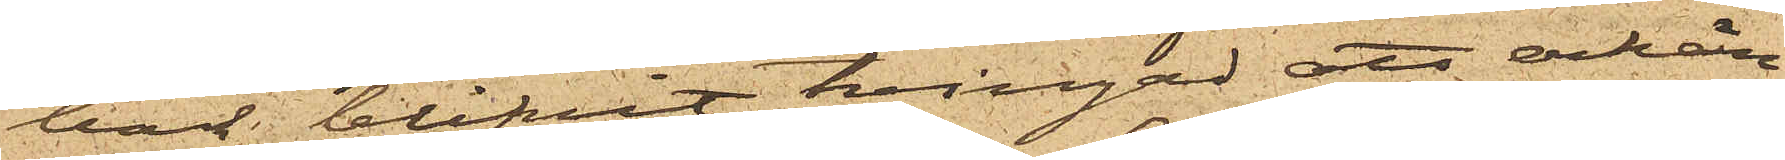bock blifvit tvingad att erkän¬
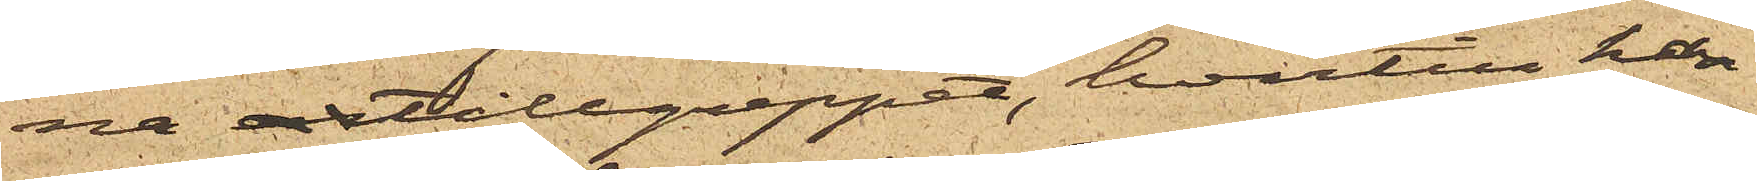na tillgreppet, hvartill han
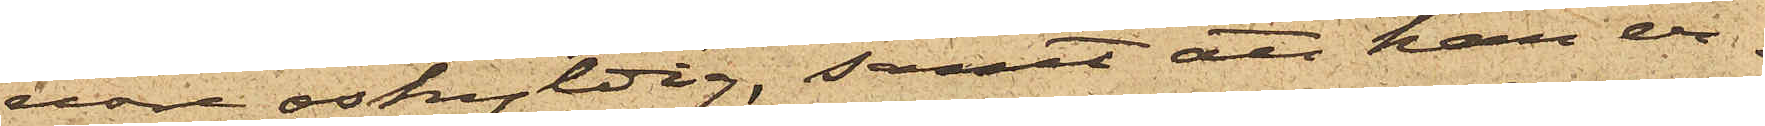vore oskyldig, samt att han er¬
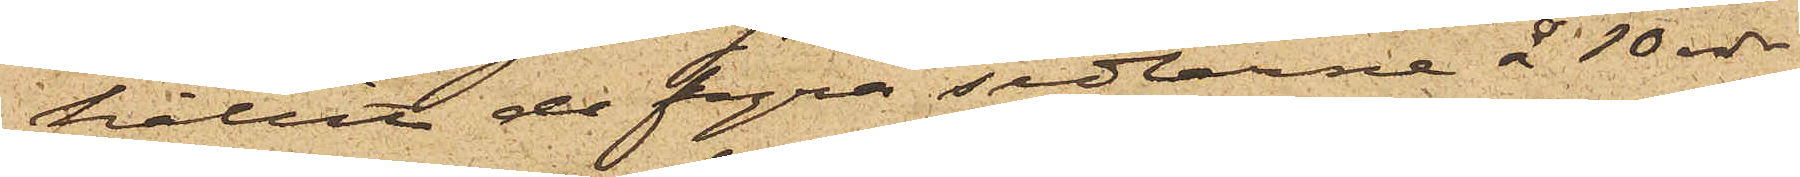hållit de fyra sedlarne å 10 rdr
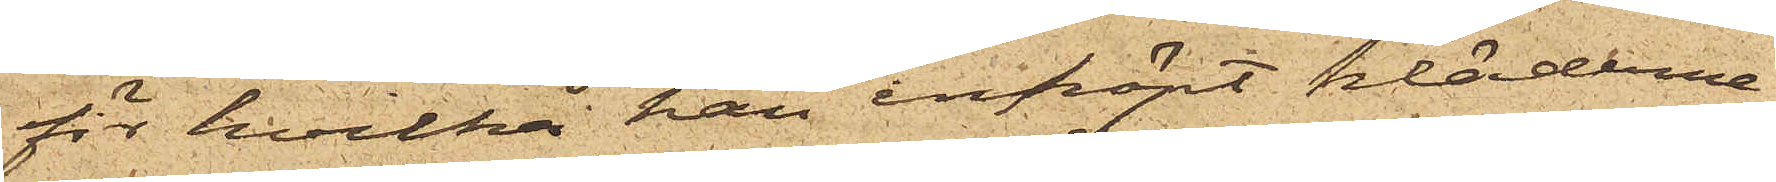för hvilka han inköpt kläderna,
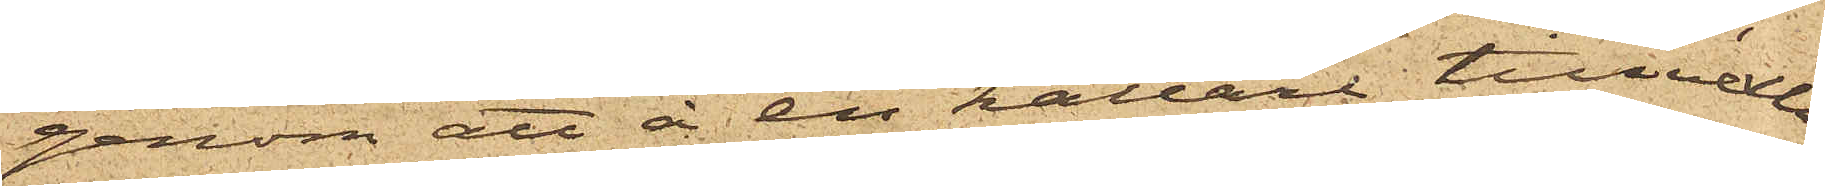genom att å en källare tillvexla
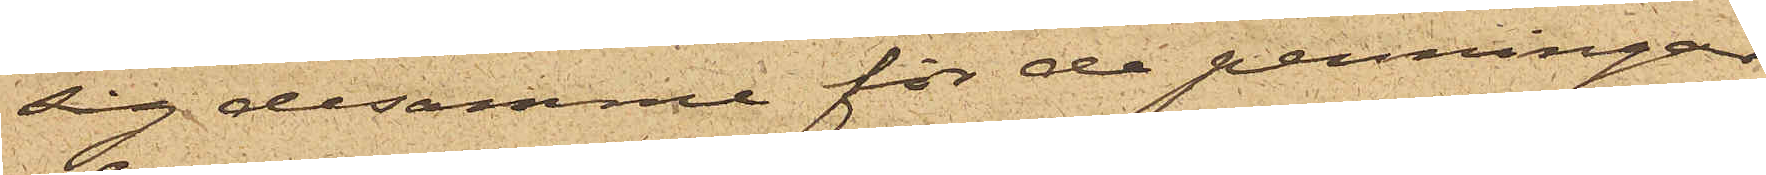sig desamme för de penningar
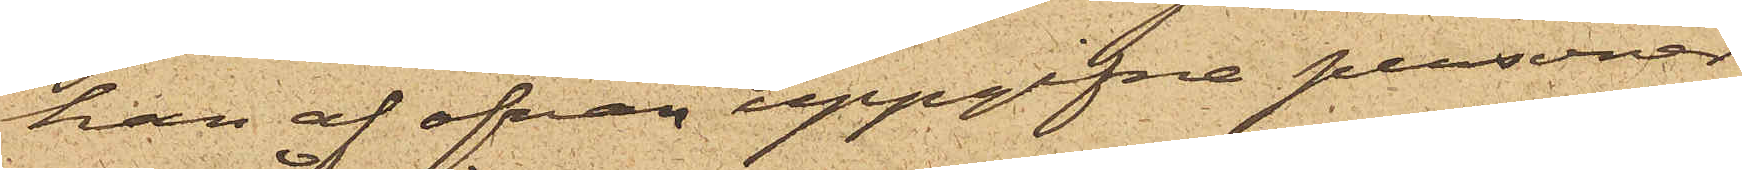han af ofvan uppgifna personer
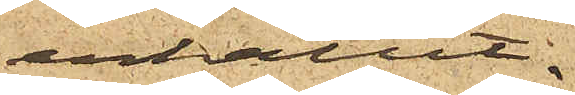erhållit.
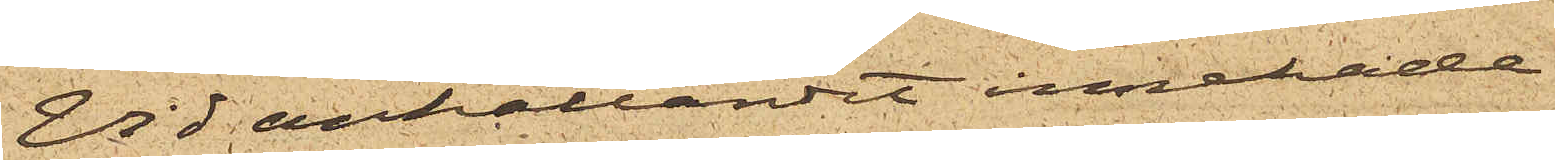Vid anhållandet innehade
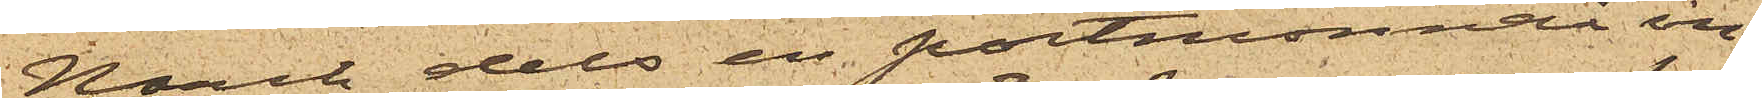Noach dels en portmonnai in¬
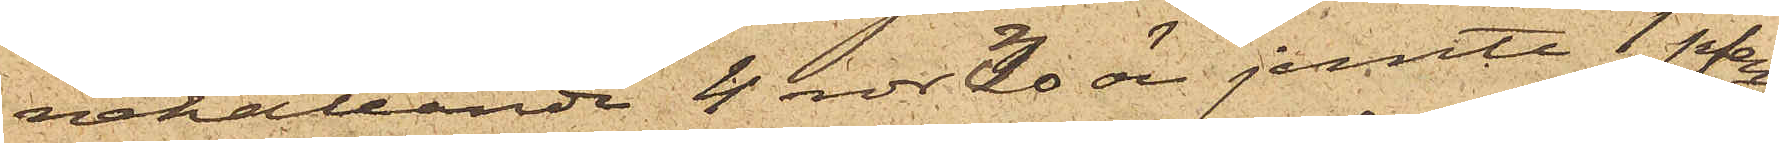nehållande 4 rdr 30 öre jemte 1 pfen¬
